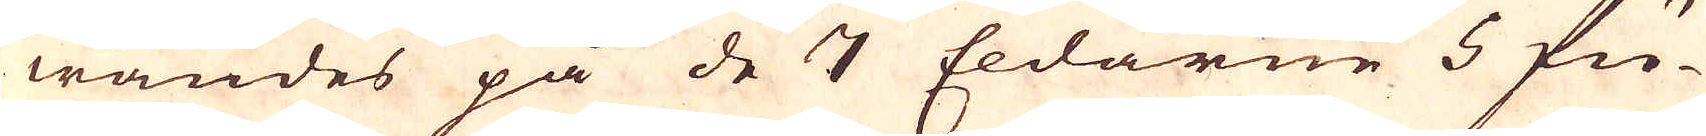wändes på de 7 Eldarne 5 fu-
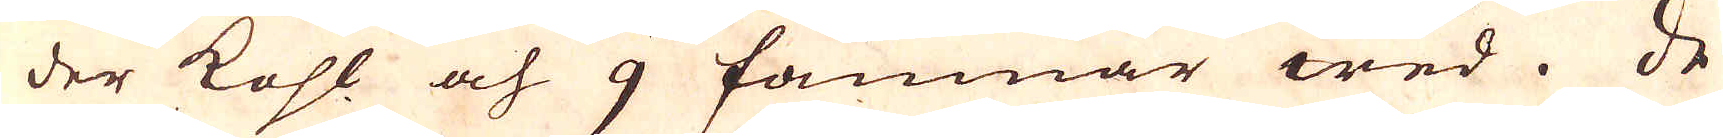der kohl och 9 famnar wed. De
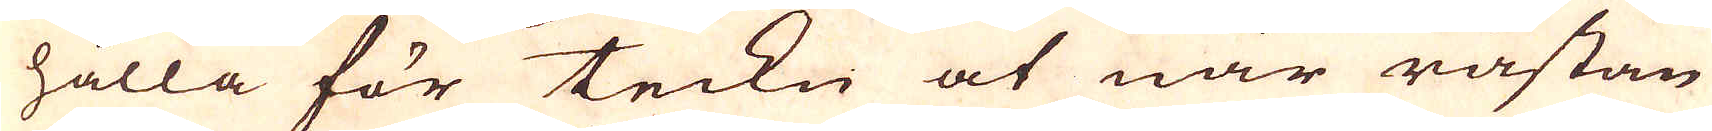hålla för teckn at när råstan
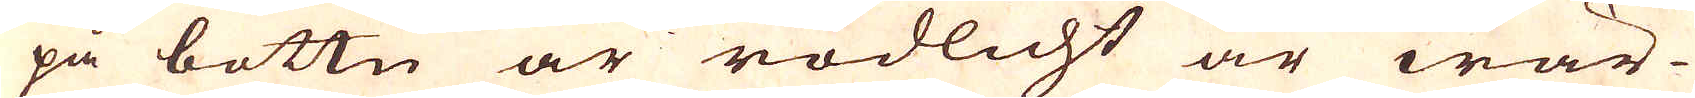på bottn är rödlicht är wär-
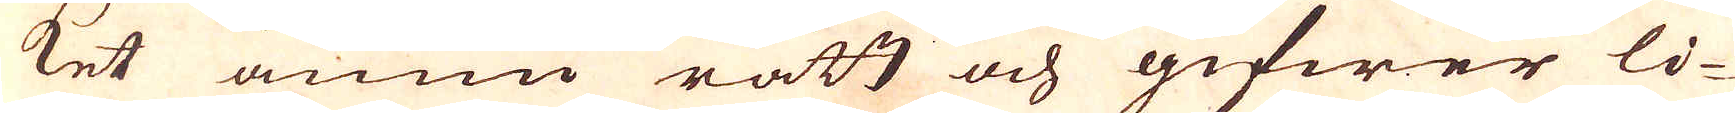ket ännu rått och gifwer li-
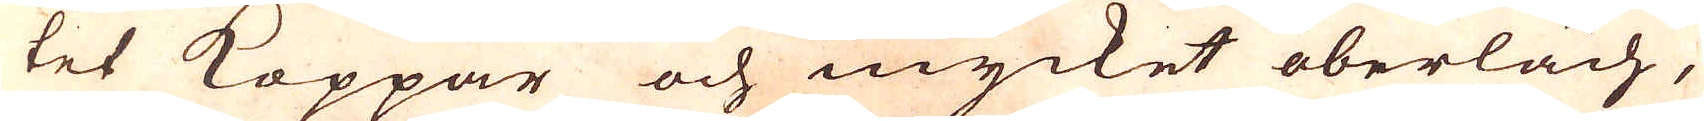tet Koppar och mycket oberläch,
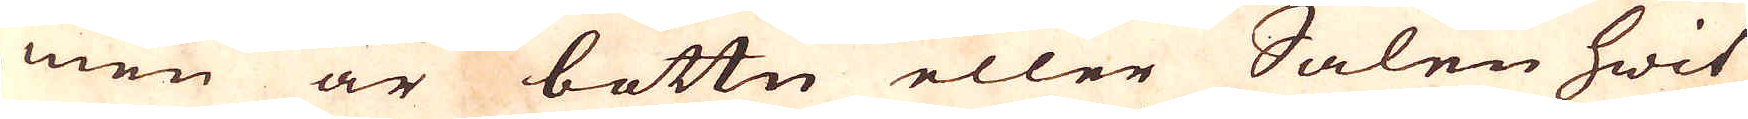men är bottn eller Salen hwit
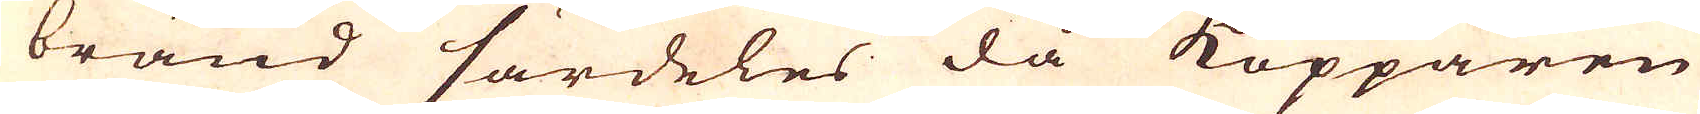bränd särdeles då Kopparen
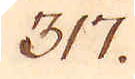317.
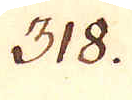318.
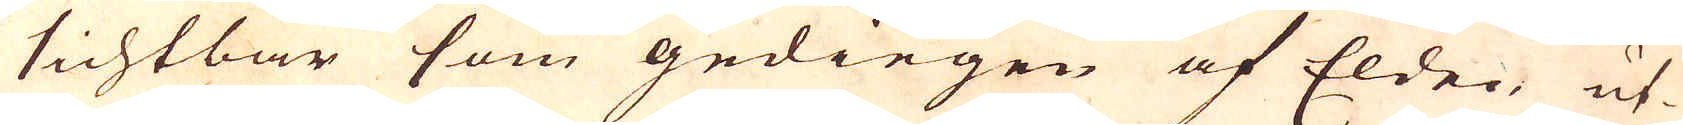sichtbar som gediegen af Elden ut-
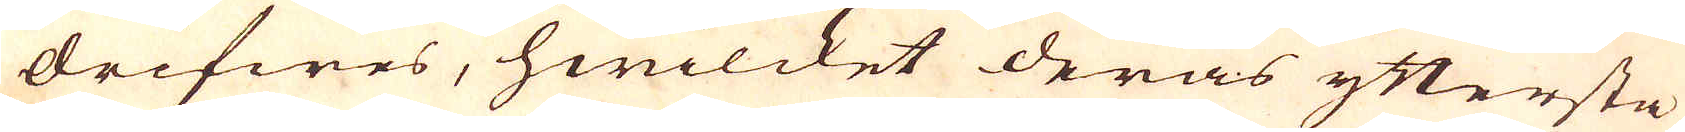drifwes, hwilcket deras yttersta
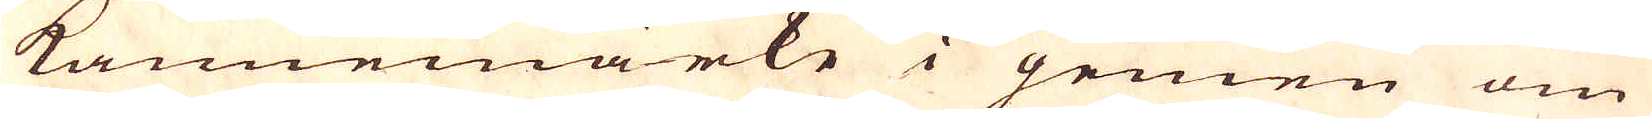kannemärke i gemen om
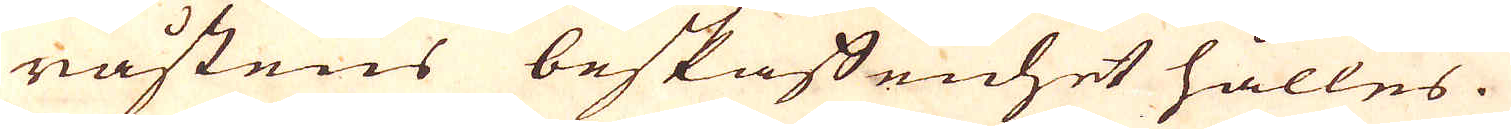råstens beskaffenhet hålles.
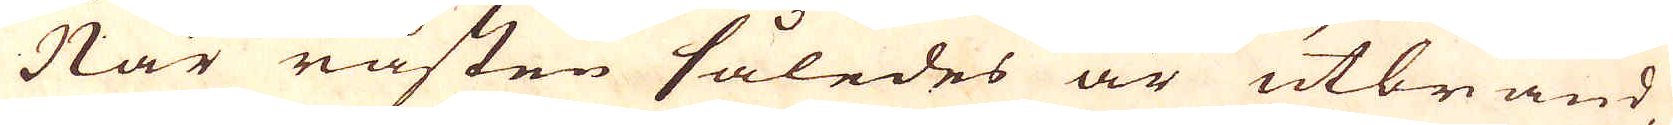När råsten således är utbränd,
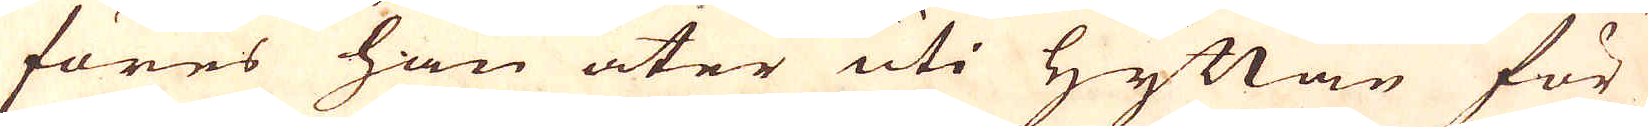föres han åter uti Hyttan för
